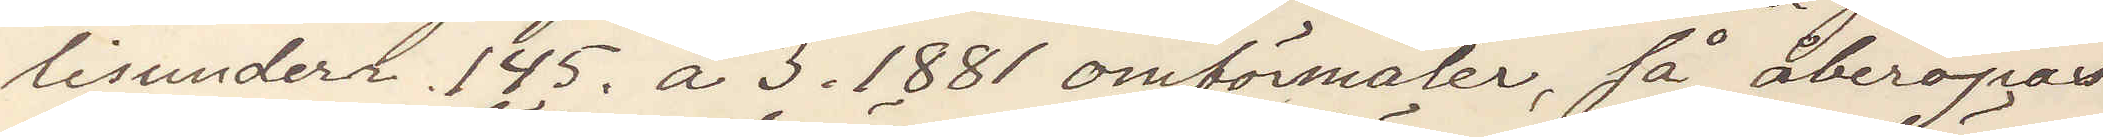lisunderr 145. a 3. 1881 omförmälde, så åberopas
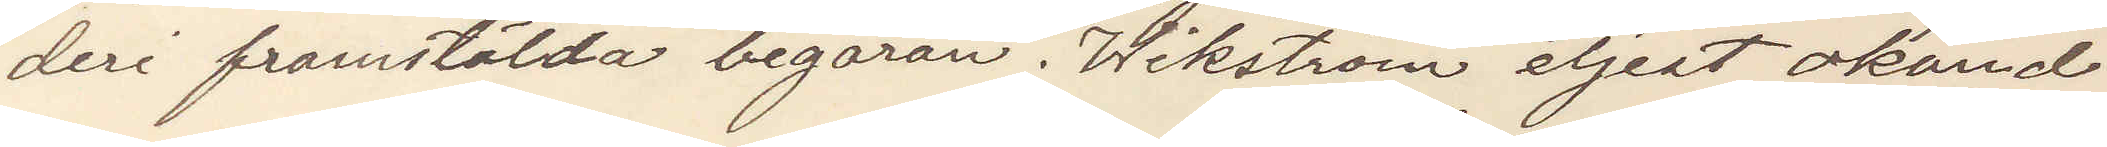deri framstälda begäran. Wikström eljest okänd.
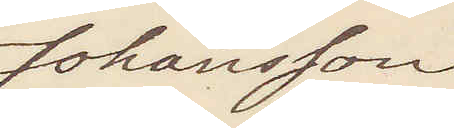Johansson
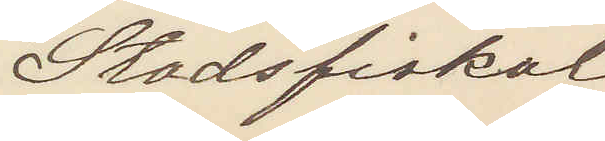Stadsfiskal
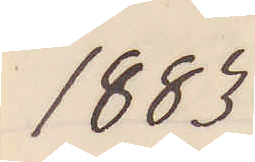1883
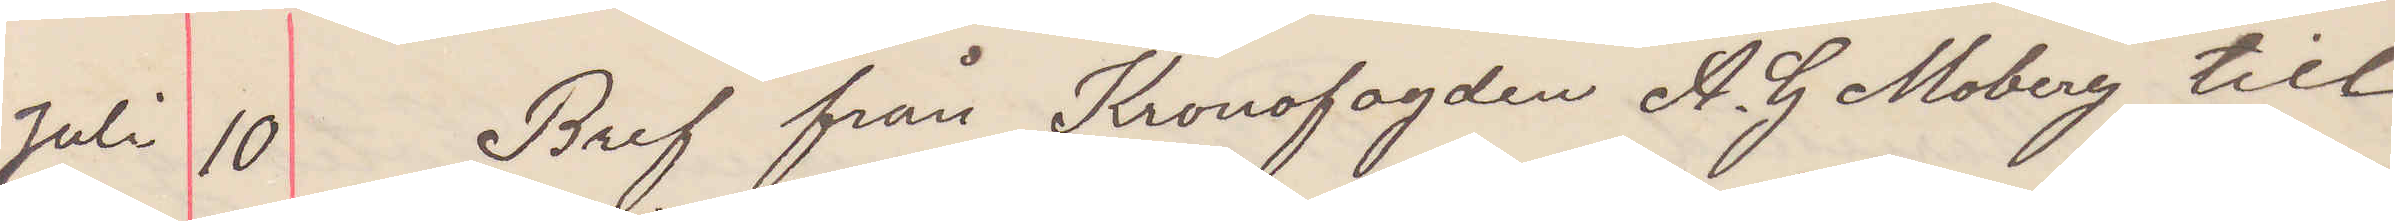Juli 10  Bref från Kronofogden A. G Moberg till
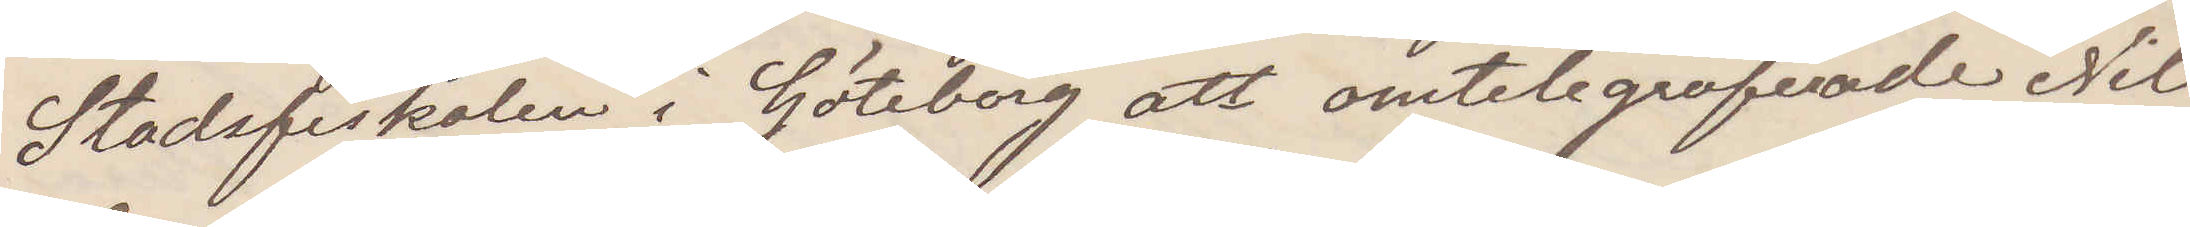Stadsfiskalen i Göteborg att omtelegraferade Nils
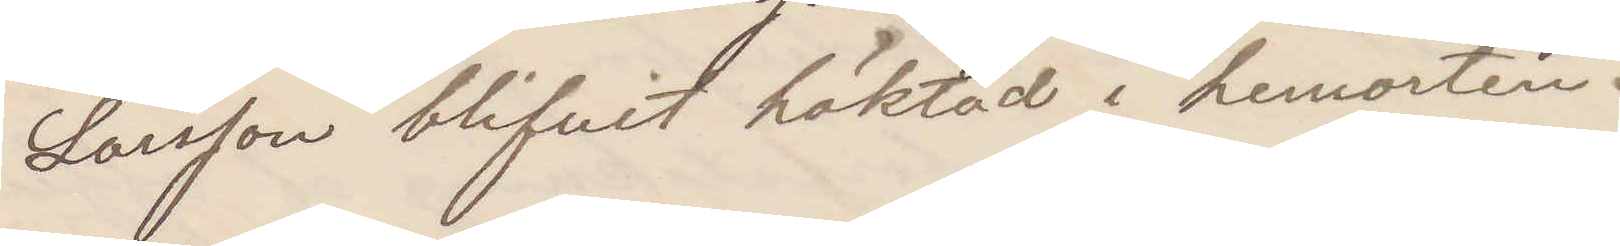Larsson blifvit häktat i hemorten.
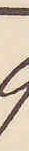9
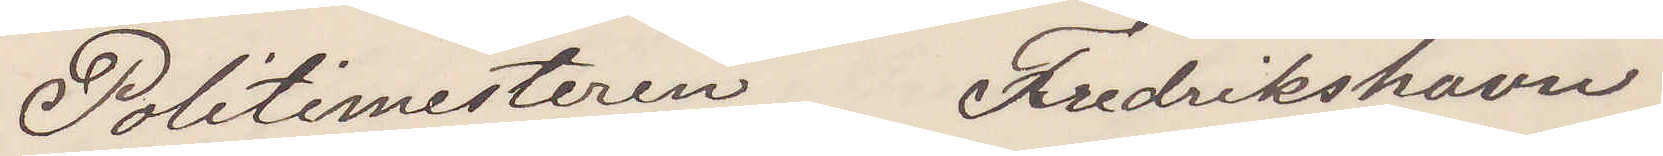Politimesteren Fredrikshamn
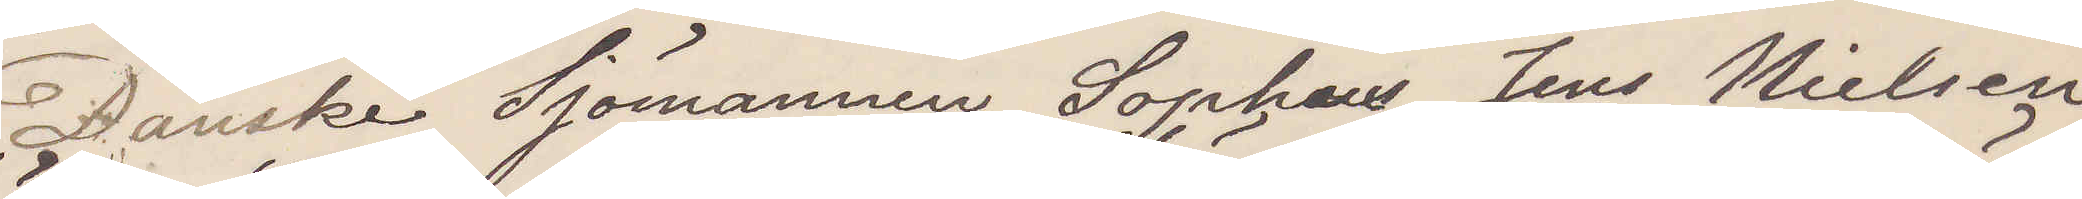Danske Sjömannen Sophus Jens Nielsen
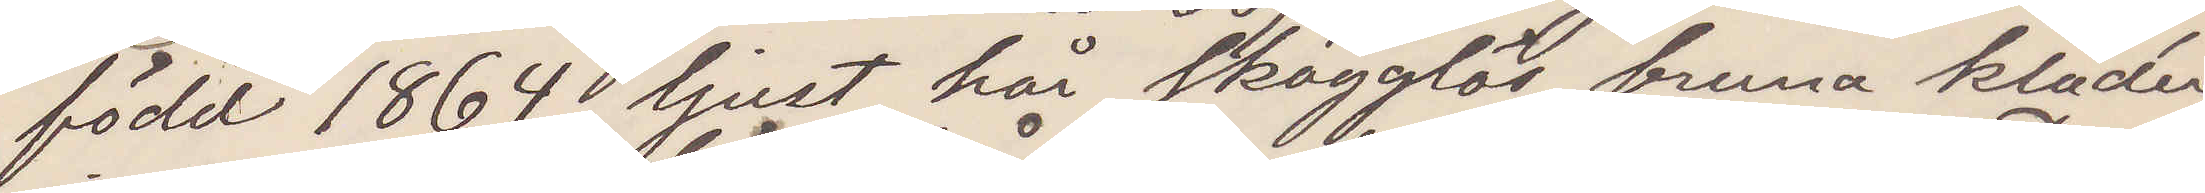född 1864 ljust hår skägglös bruna kläder,
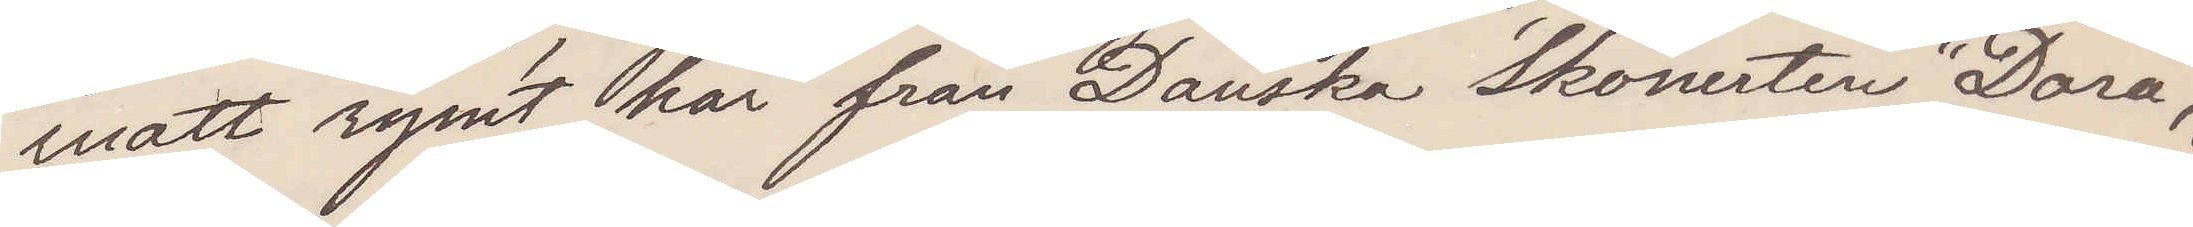inatt rymt här från Danska Skonerten "Dora",
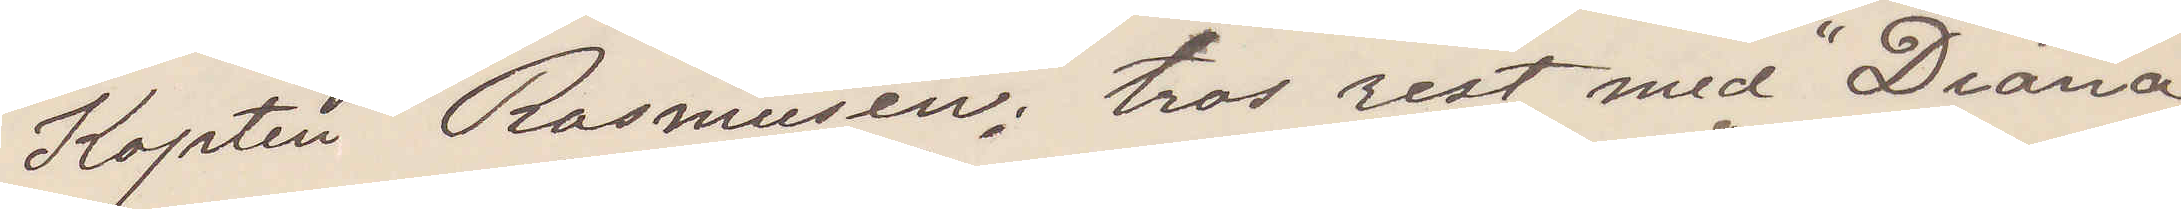Kapten Rasmusen; tros rest med "Diana"
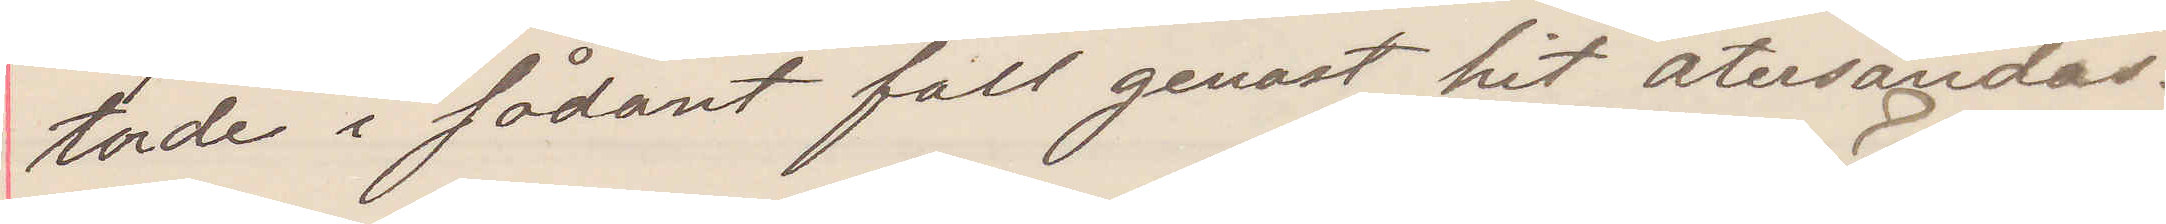torde i sådant fall genast hit återsändas.
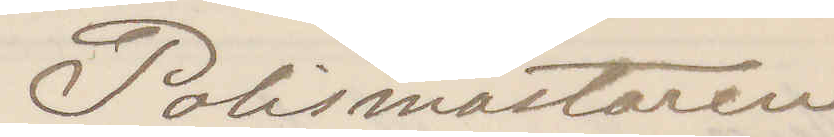Polismästaren
